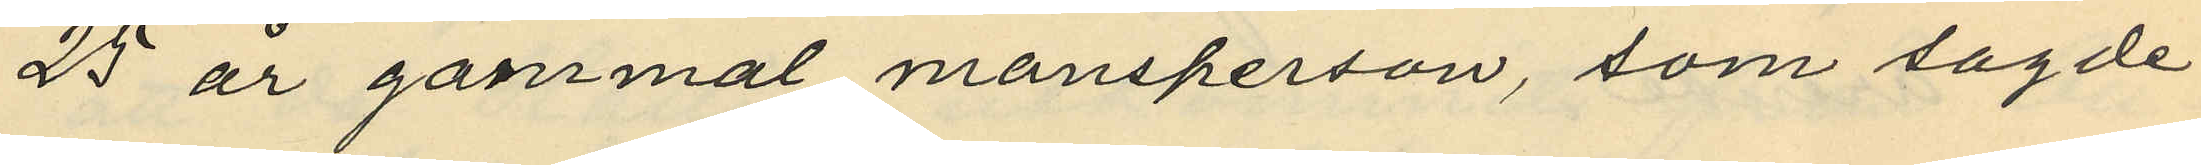25 år gammal mansperson, som sagde
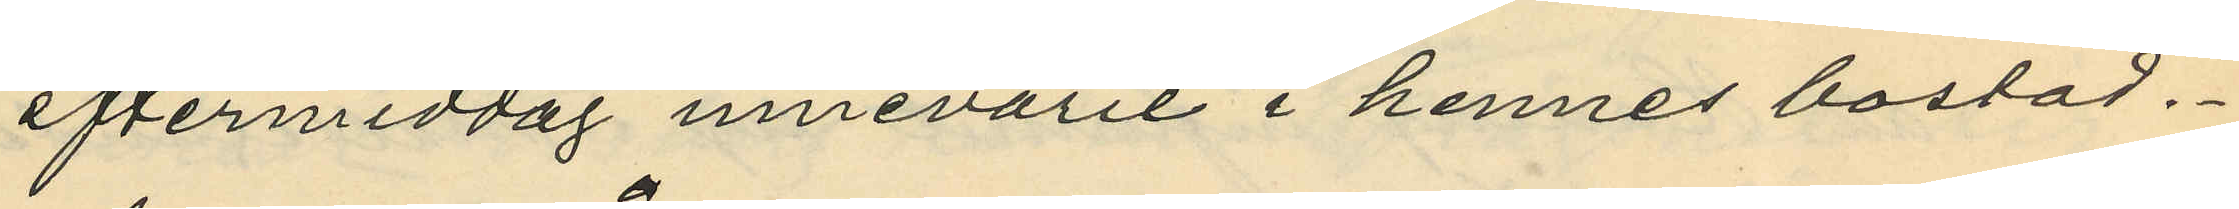eftermiddag innevarit i hennes bostad.
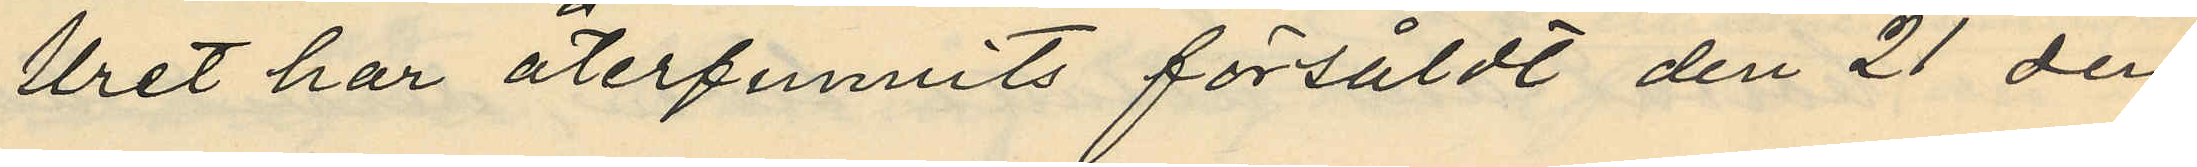Uret har återfunnits försåldt den 21 den¬
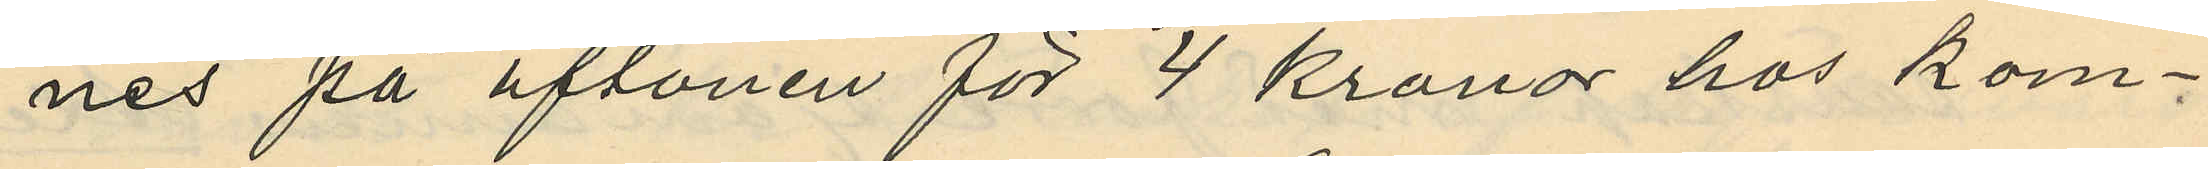nes på aftonen för 4 kronor hos kom¬
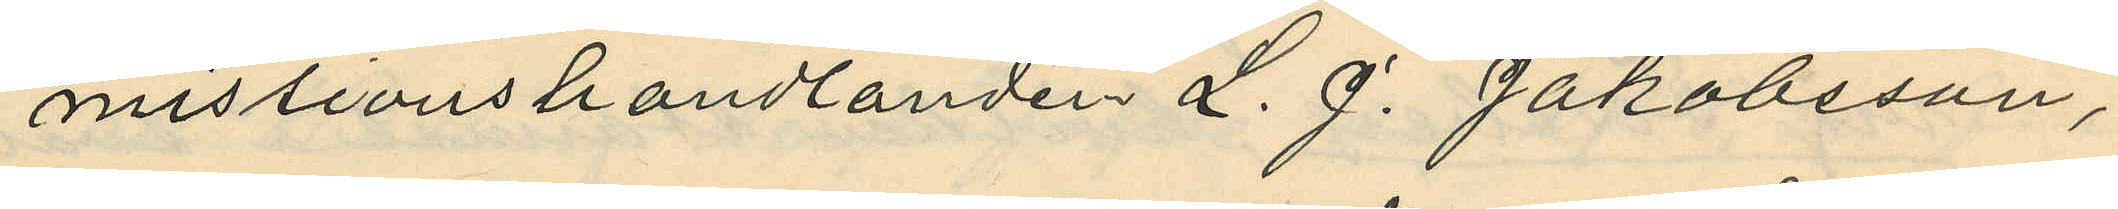missionshandlanden L. J. Jakobsson,
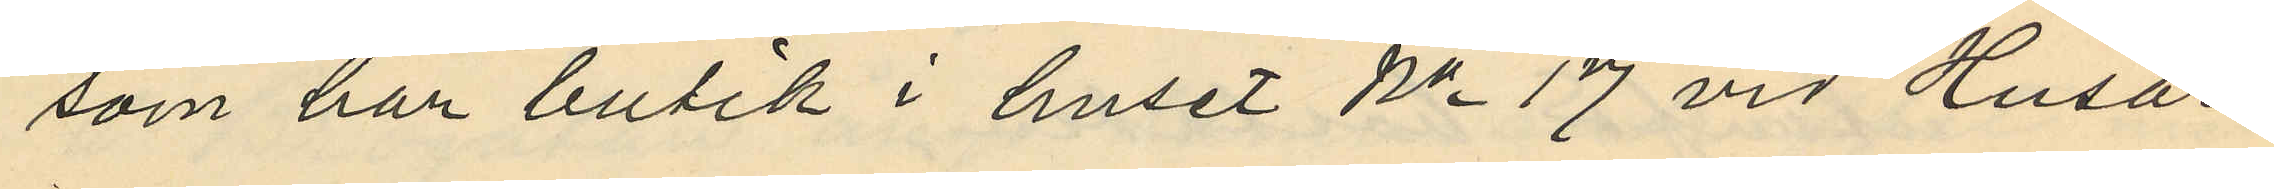som han butik i huset No 17 vid Husar¬
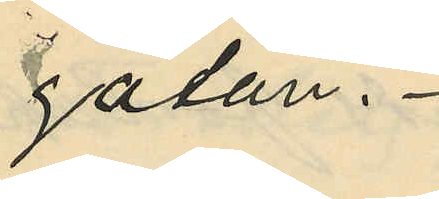gatan.
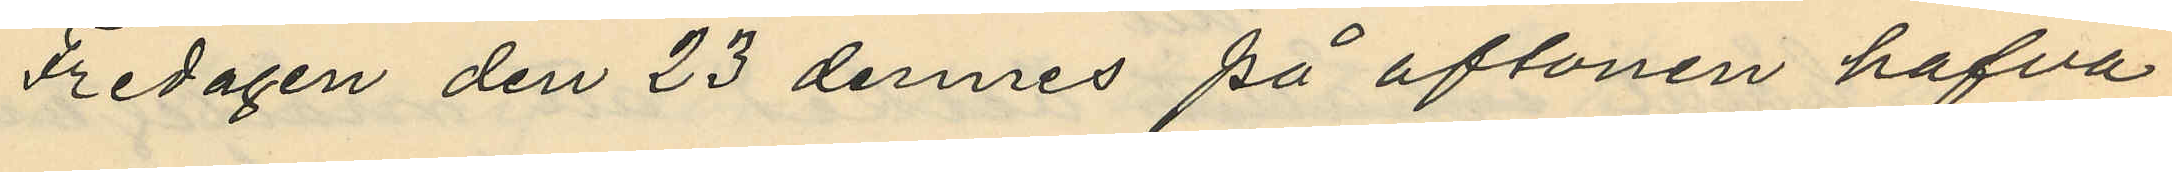Fredagen den 23 dennes på aftonen hafva
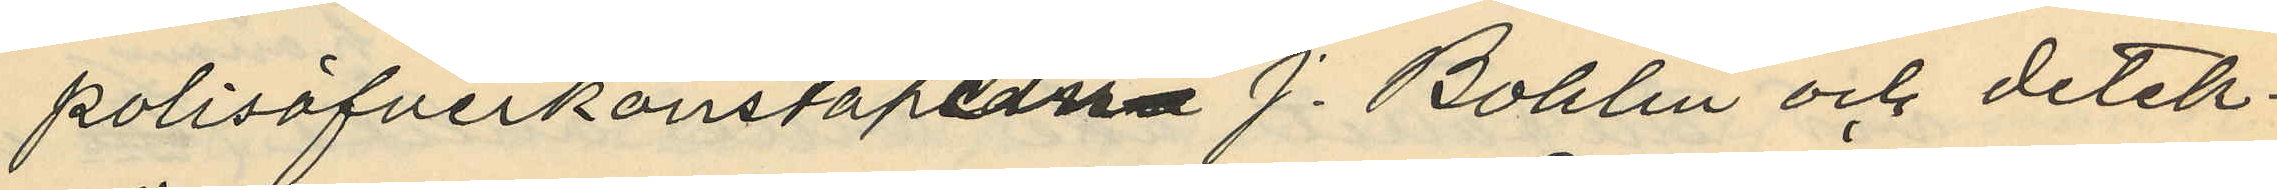polisöfverkonstapeln J. Bohlin och detek¬
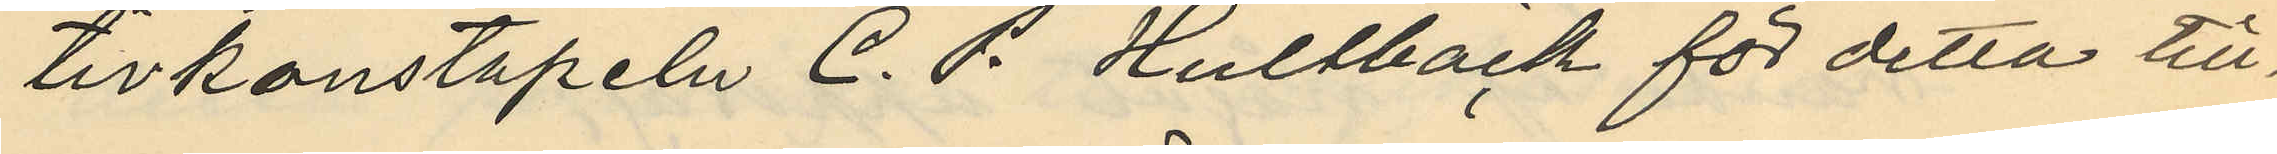tivkonstapeln C. P. Hultbäck för detta till¬
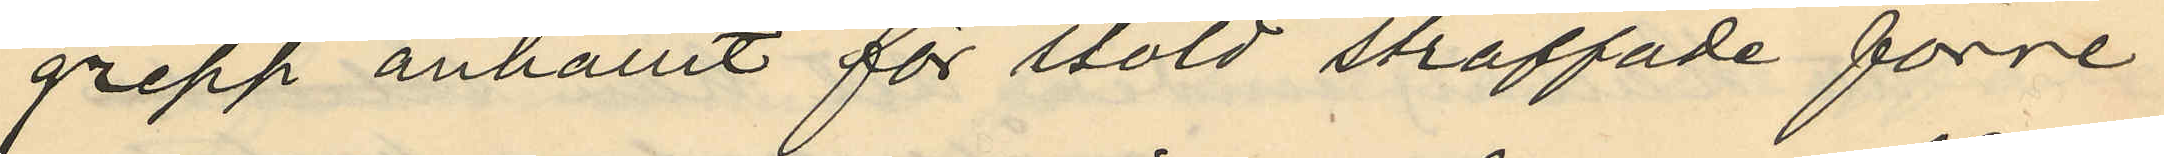grepp anhållit för stöld straffade förre
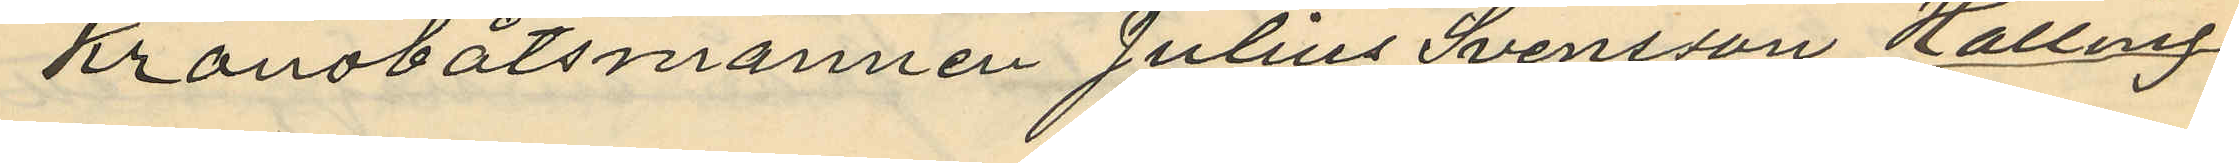Kronobåtsmannen Julius Svensson Halling
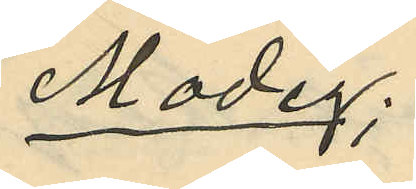Modig;
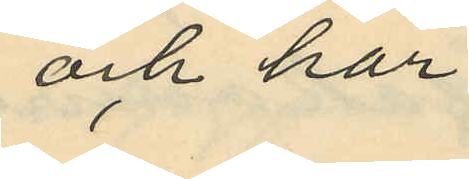och har
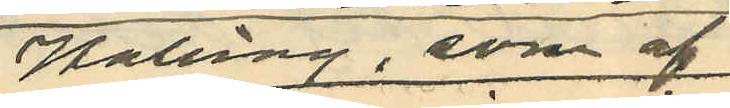Halling, som af
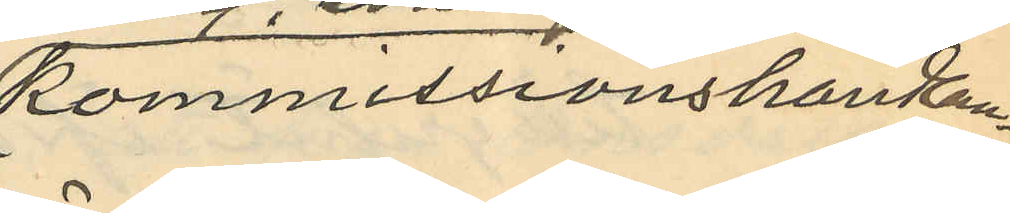kommisionshandlan¬
